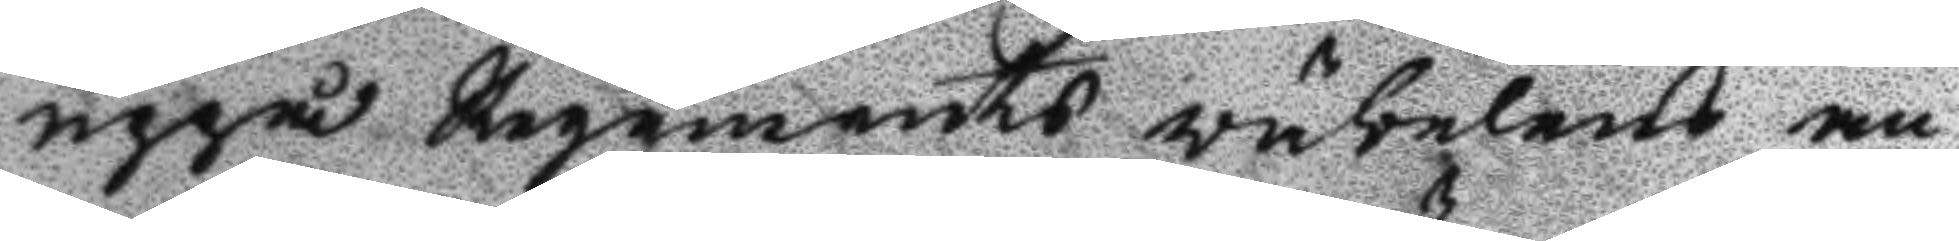uppå Regements väbelens an
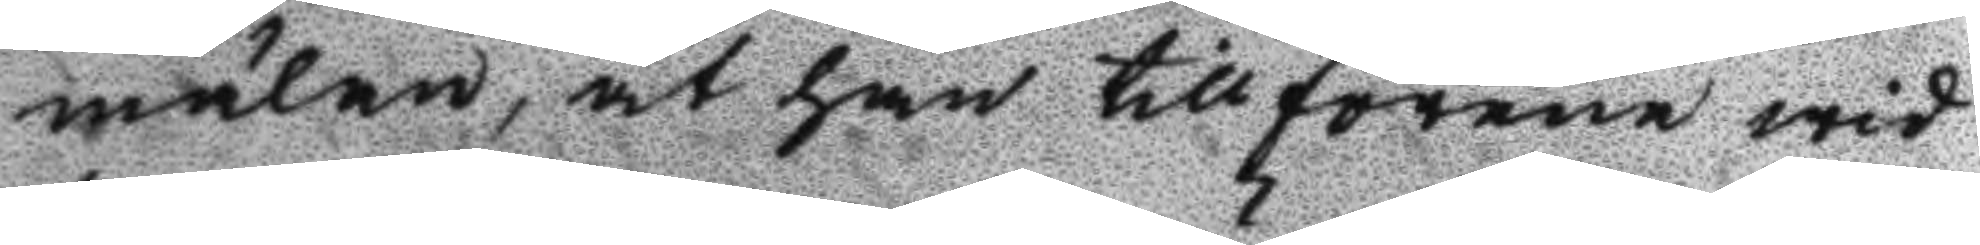mälan, at han tillförene wid
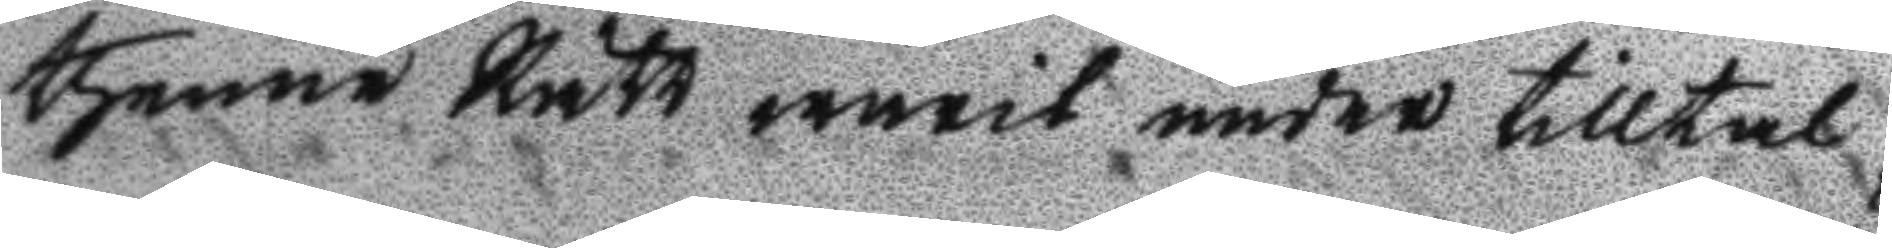thenne Rätt warit under tilltal
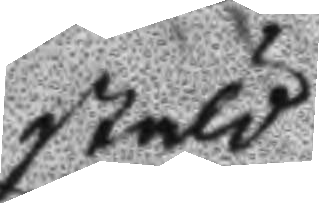stöld
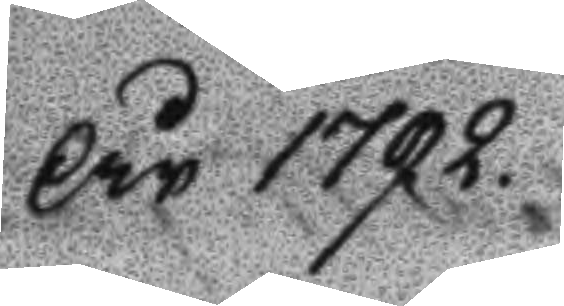År 1792.
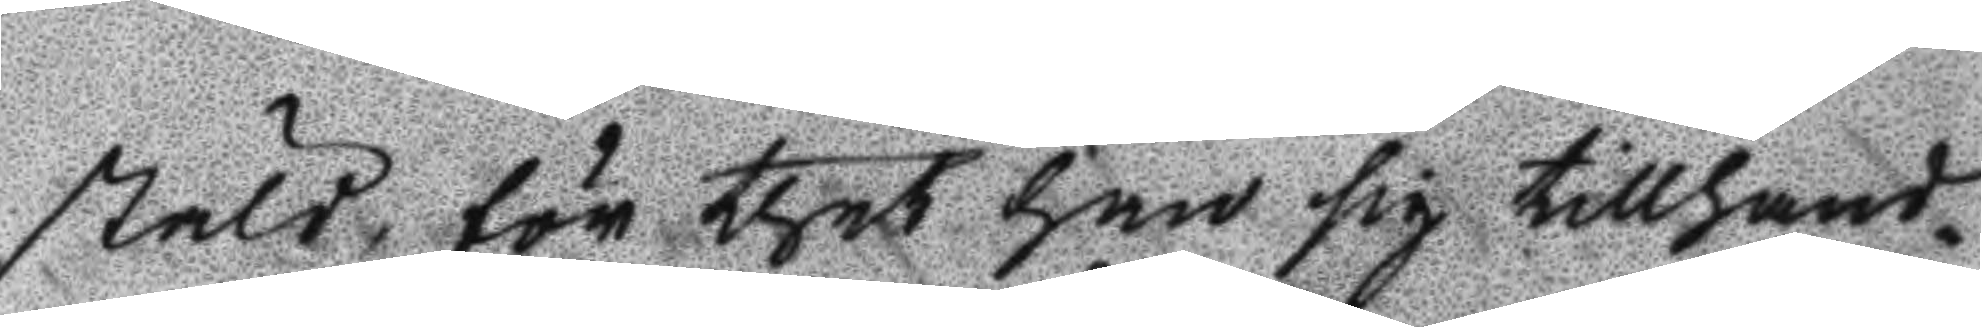stöld, för thet han sig tillhand¬
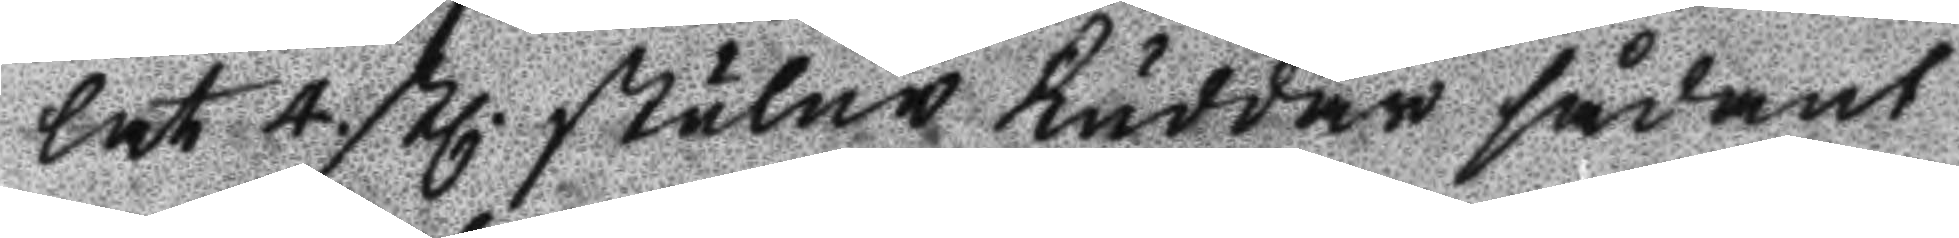lat 4. stl. stulne kuddar sådant
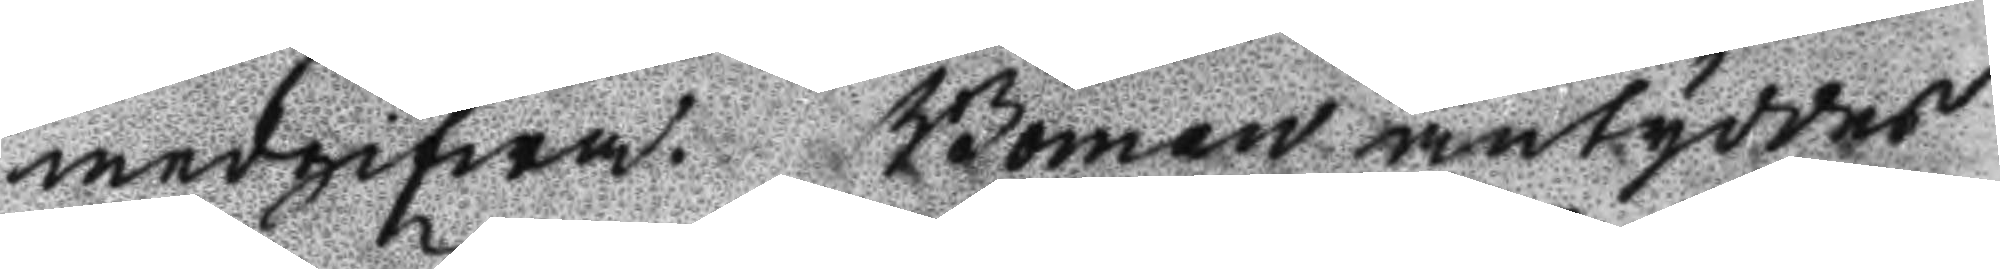medgifwa. Boman antyddes
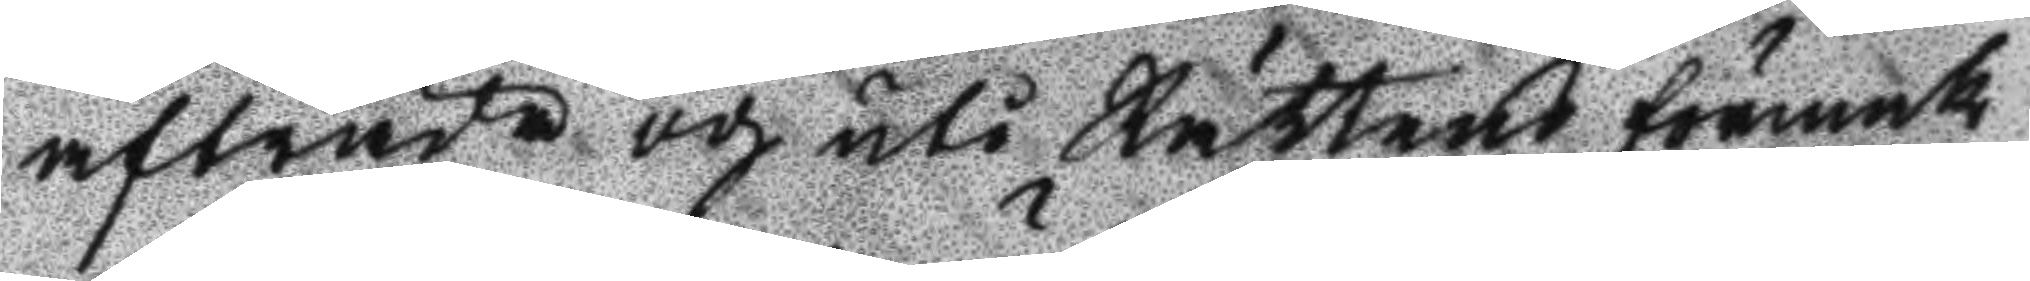atträda och uti Rättens förmak
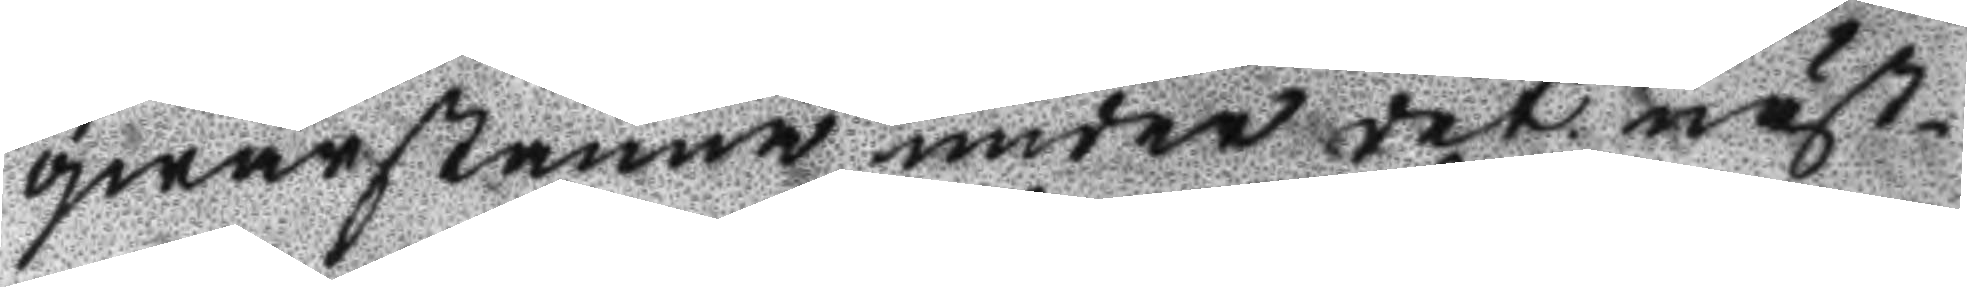qwarstanna under det näst¬
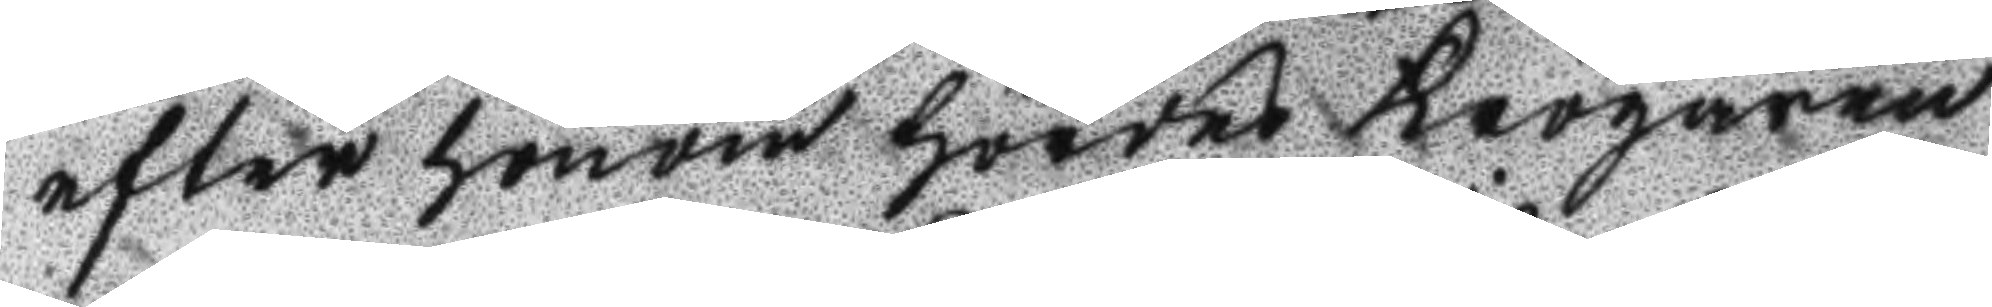efter honom hördes Krögaren
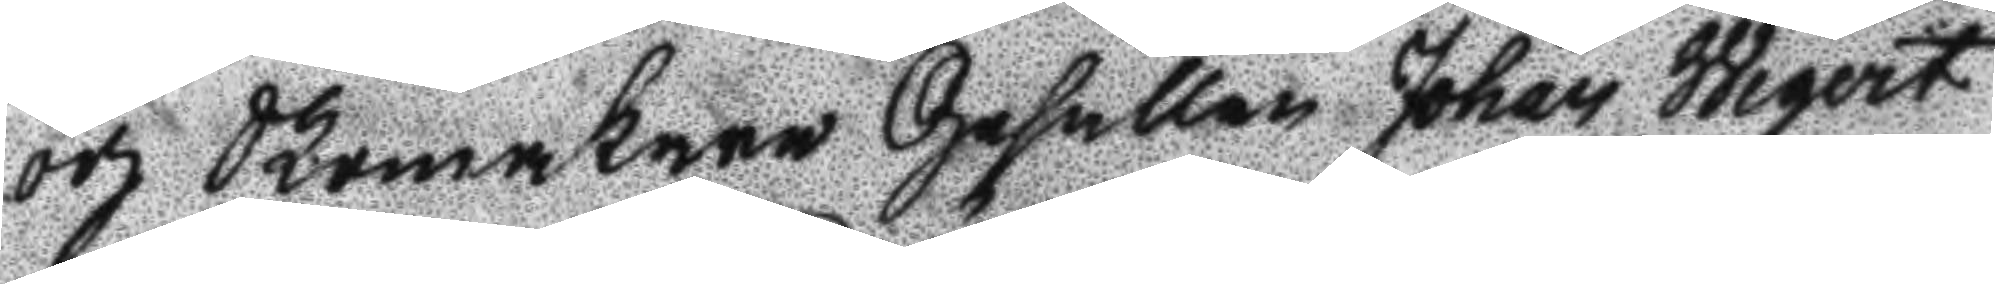och Skomakare Gesällen Johan Wigert
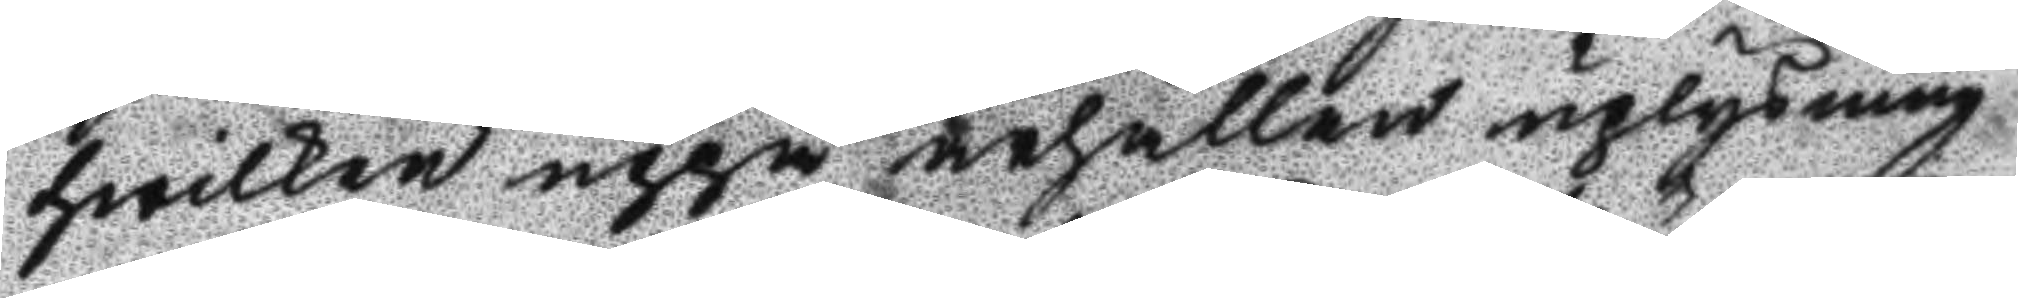hwilken uppå ärhållen uplysning
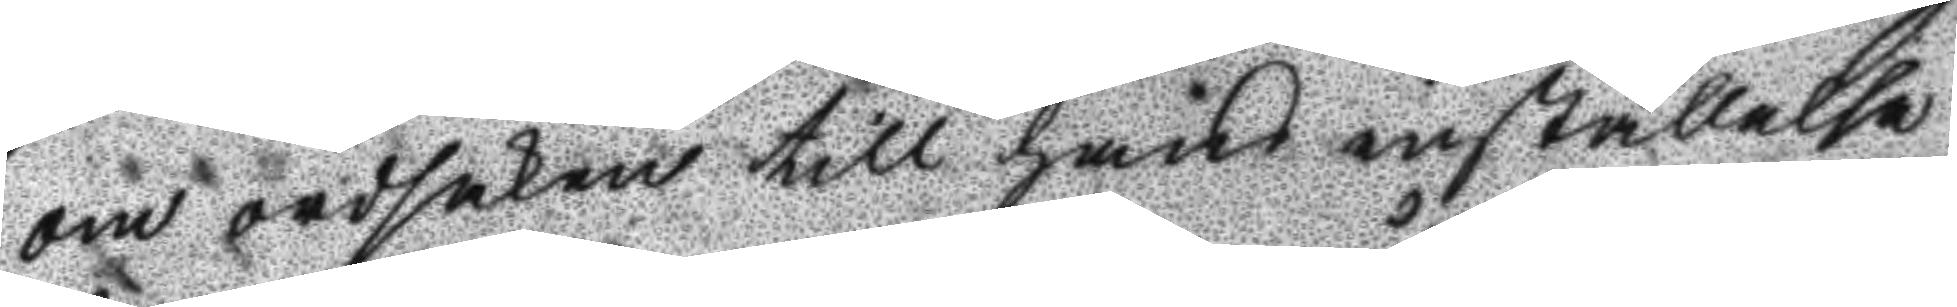om ordsaken till hans inställelse
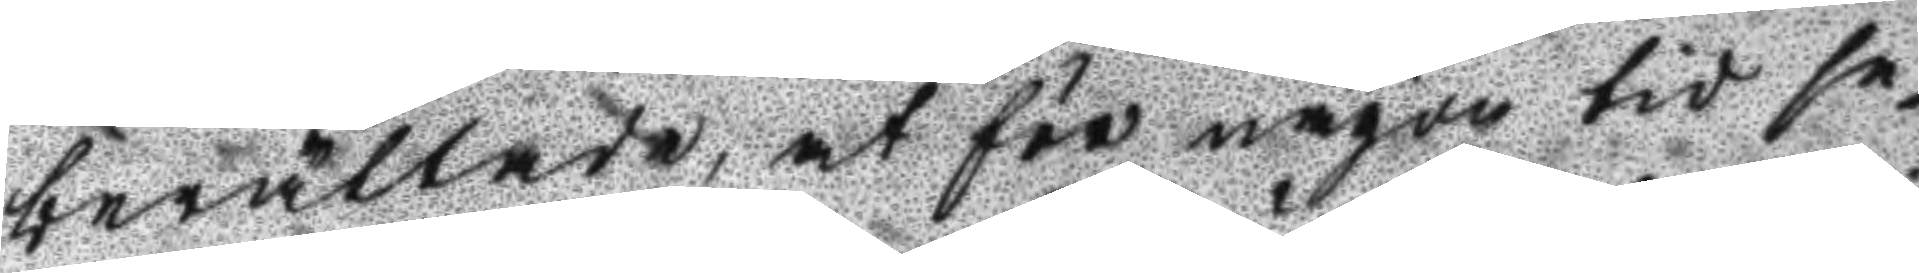berättade, at för någon tis se¬
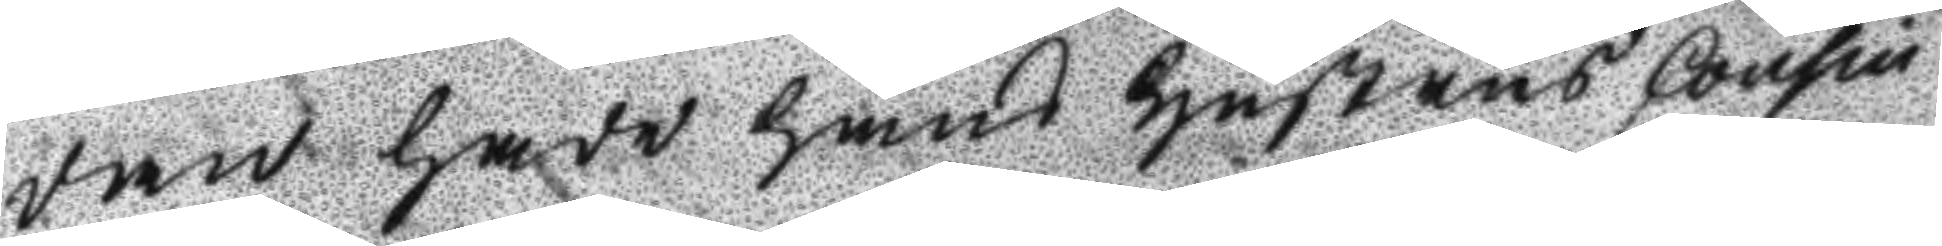dan hade hans hustrus Cousin
